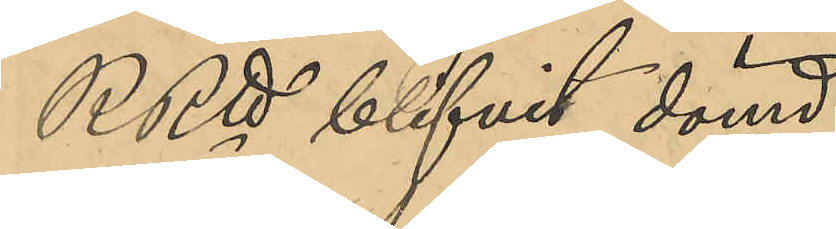RRtt blifvit dömd:
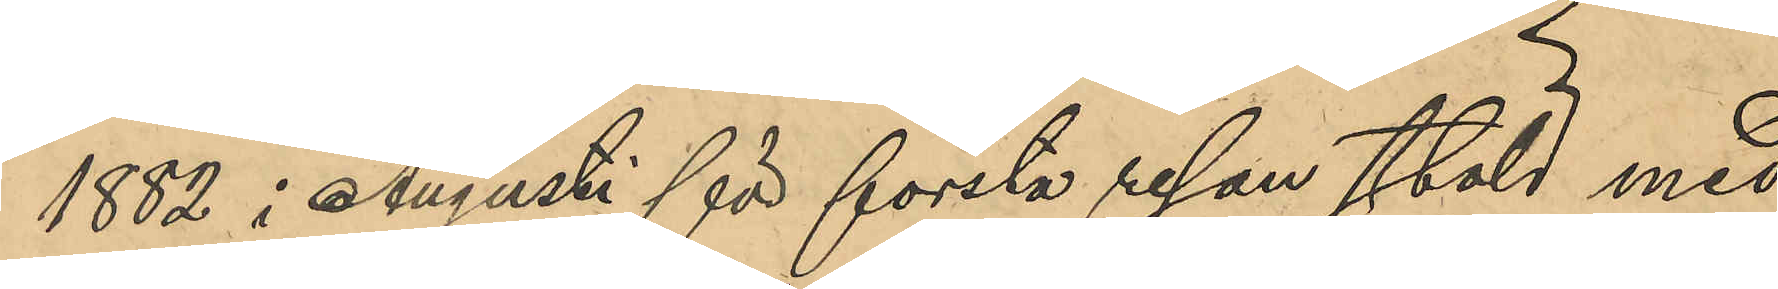1882 i Augusti för första resan stöld med
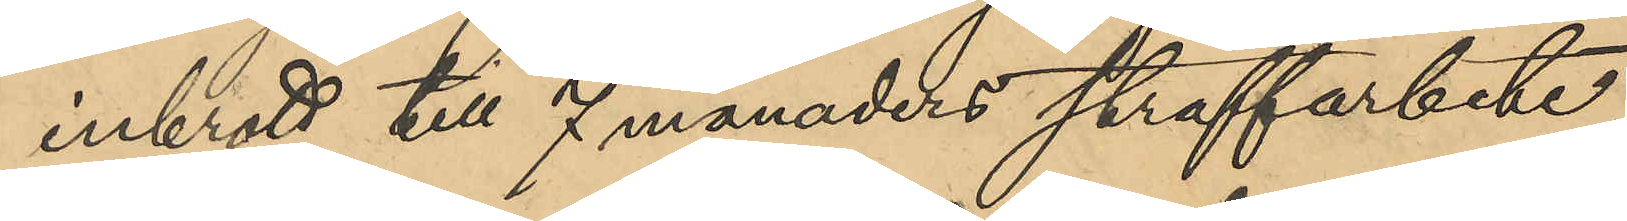inbrott till 7 månaders straffarbete,
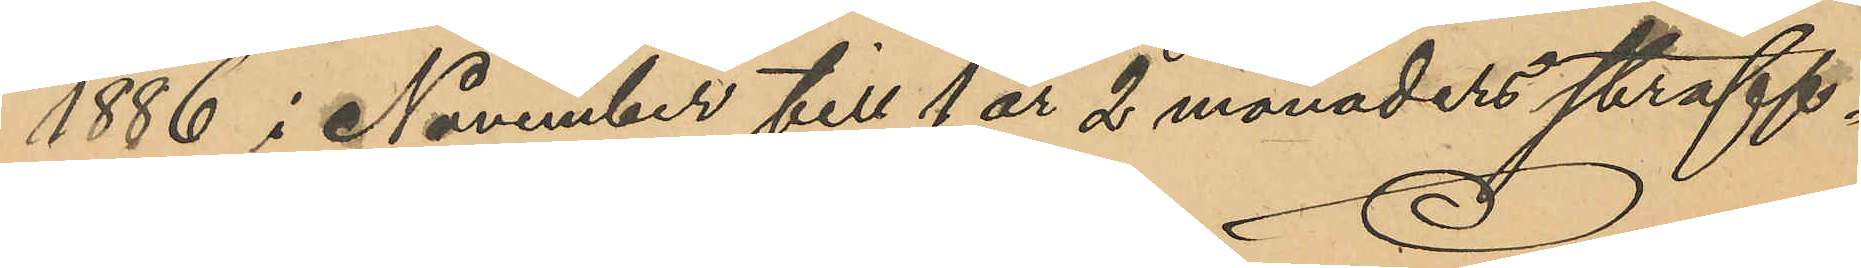1886 i November till 1 år 2 månaders straff¬
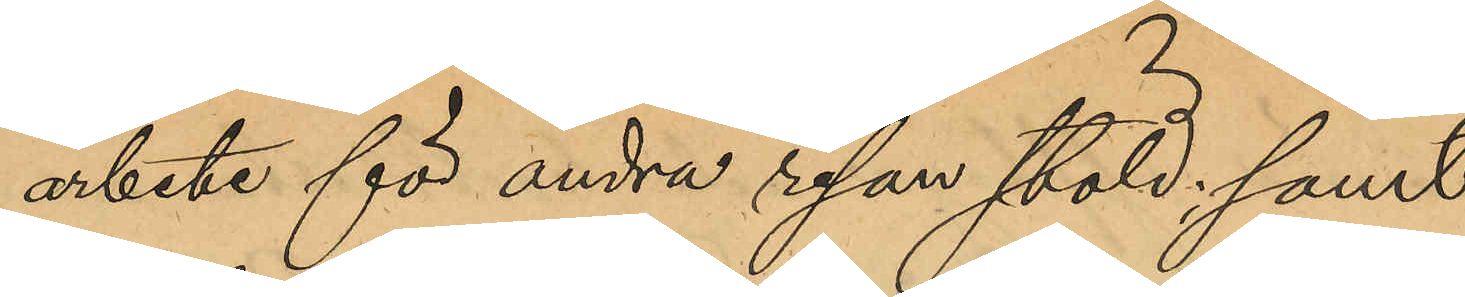arbete för andra resan stöld; samt
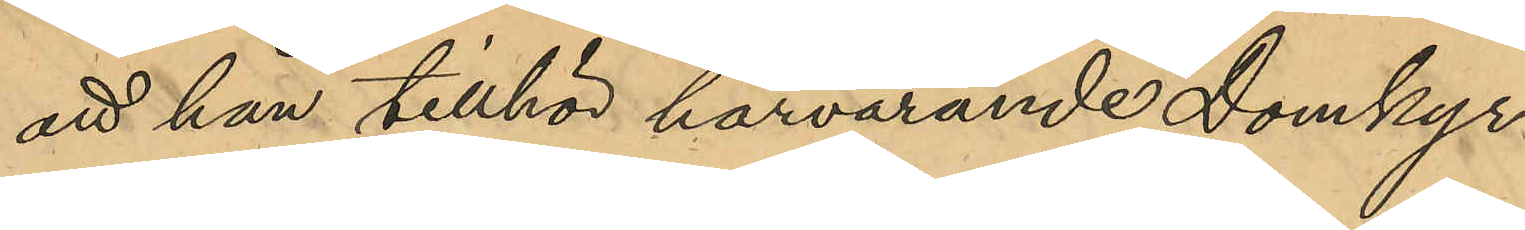att han tillhör härvarande Domkyr¬
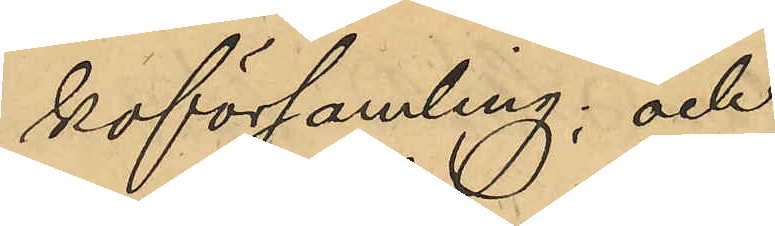koförsamling; och
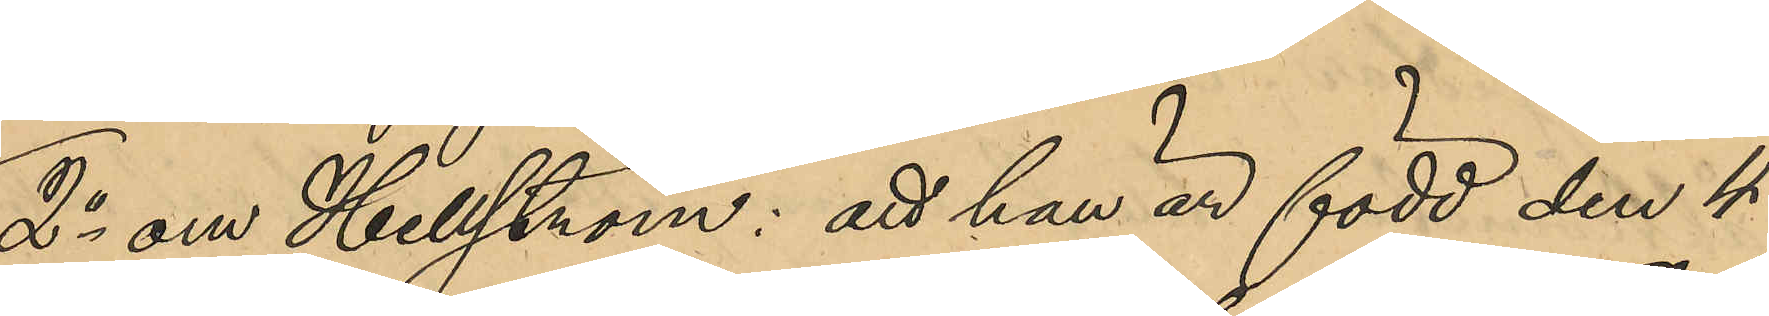2o om Hellström: att han är född den 4
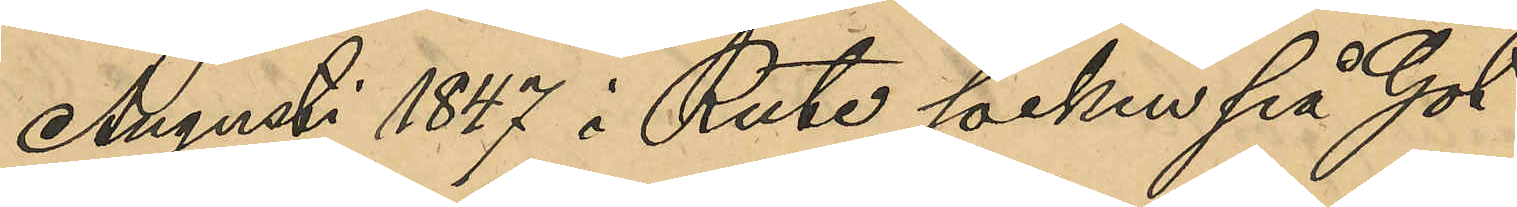Augusti 1847 i Rute socken på Got¬
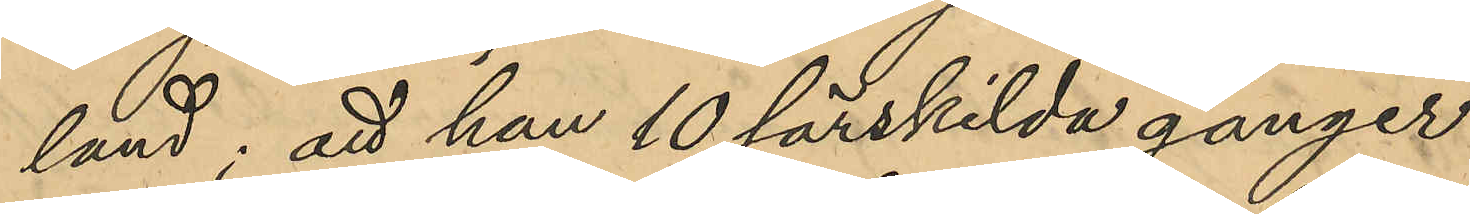land; att han 10 särskilda gånger
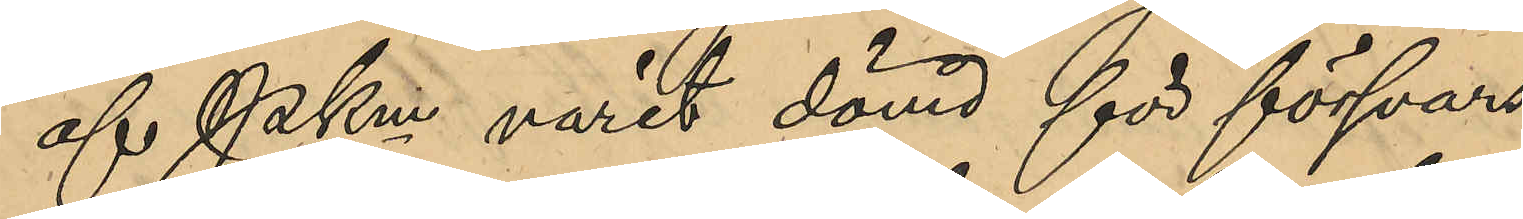af PKmn varit dömd för försvars¬
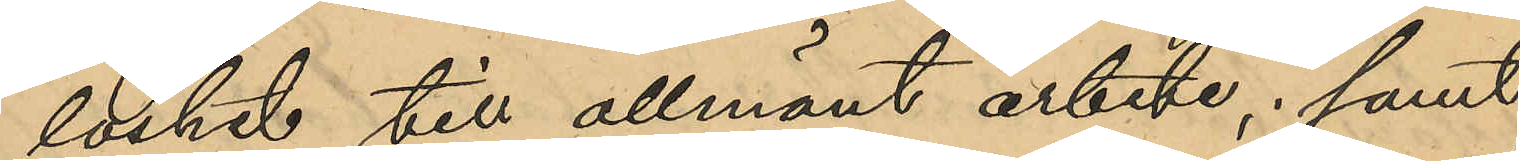löshet till allmänt arbete, samt
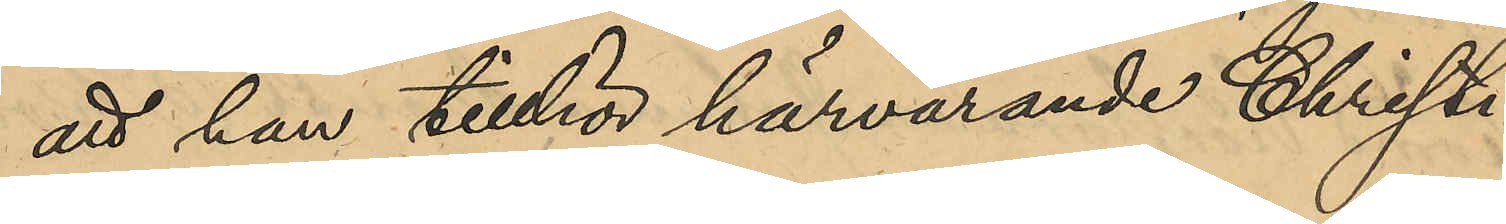att han tillhör härvarande Christi¬
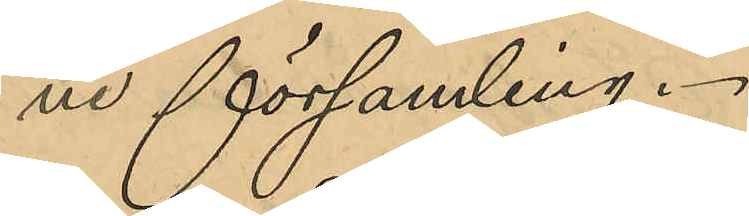ne församling.
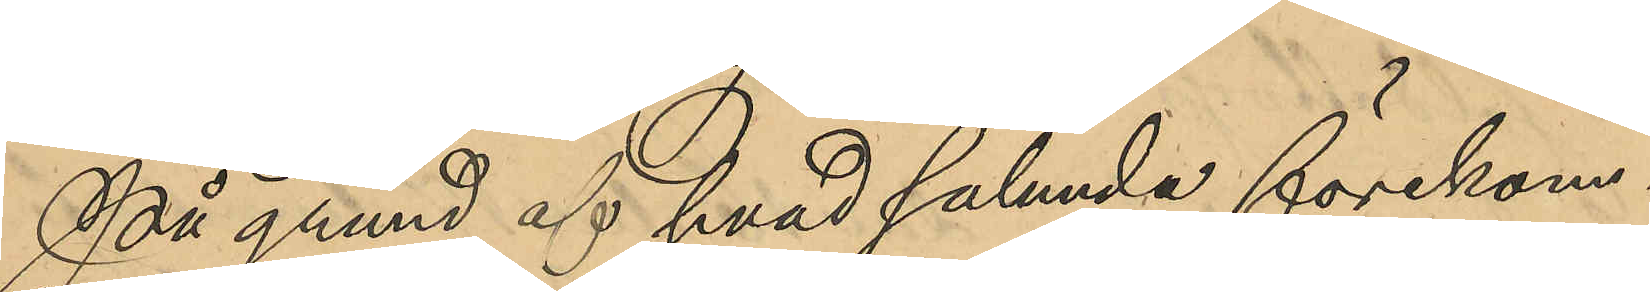På grund af hvad sålunda förekom¬
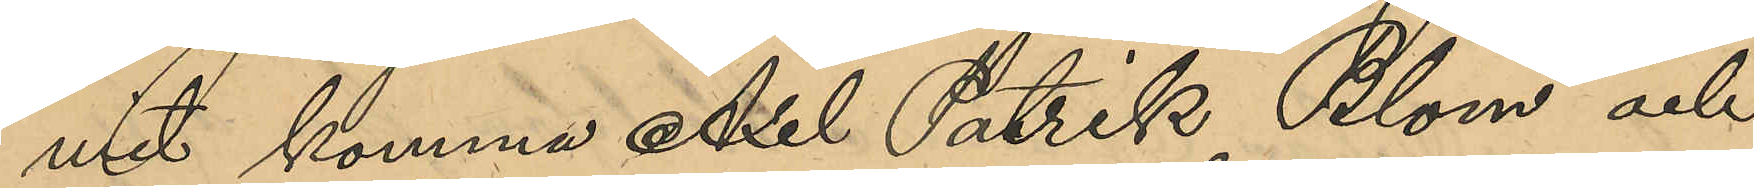mit komma Axel Patrik Blom och
